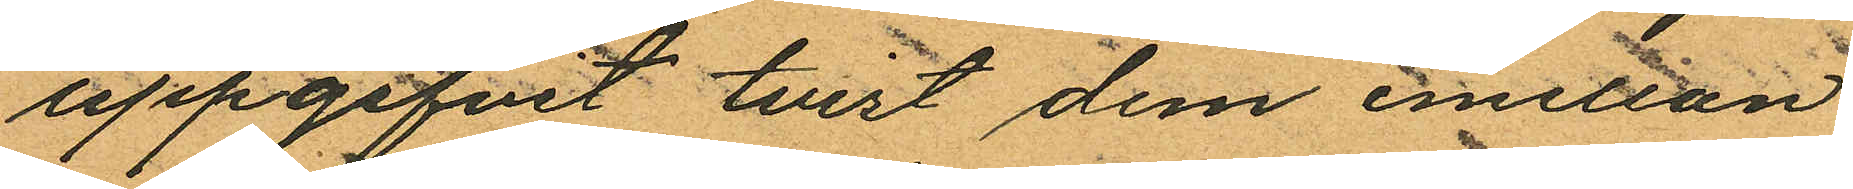uppgifvit tvist dem emellan
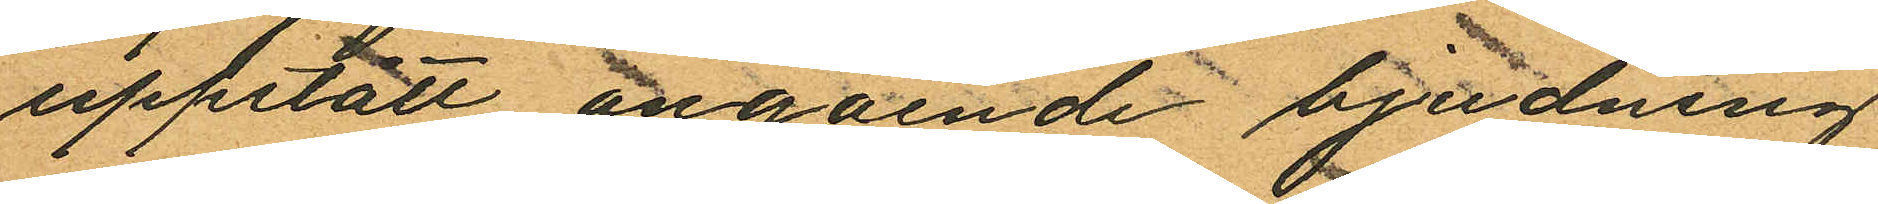uppstått angående bjudning
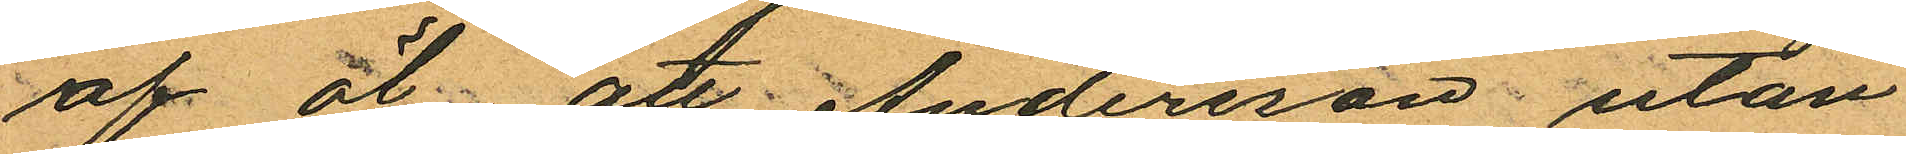af öl att Andersson utan
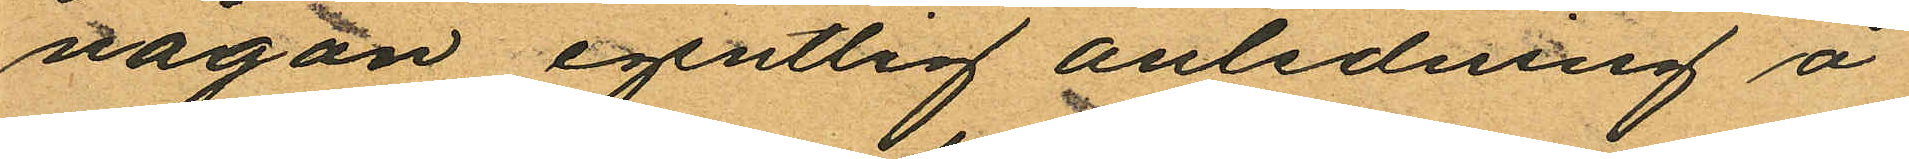någon egentlig anledning å
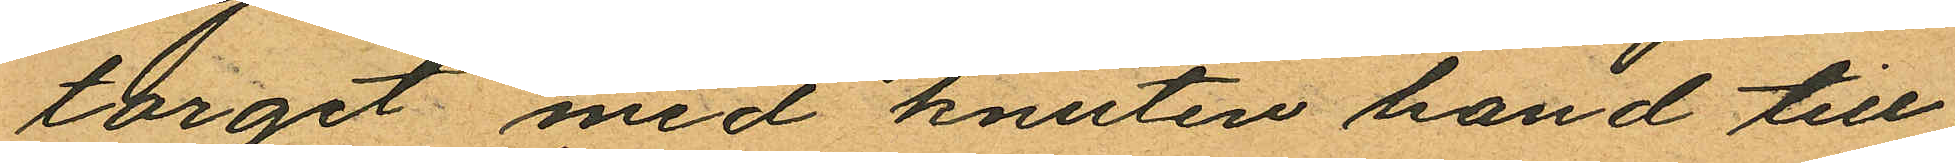torget med knuten hand till
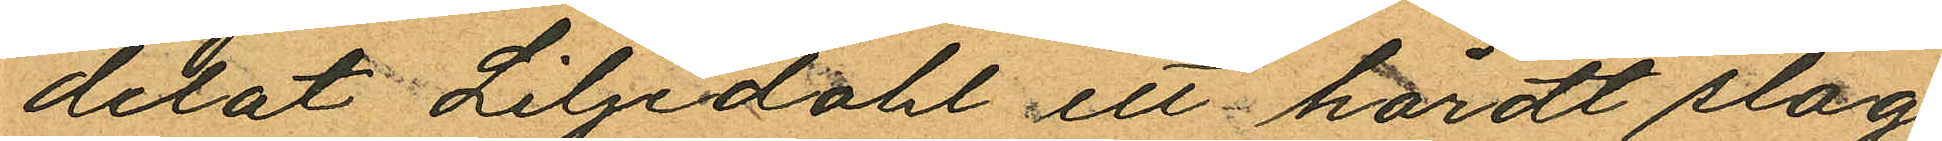delat Liljedahl ett hårdt slag
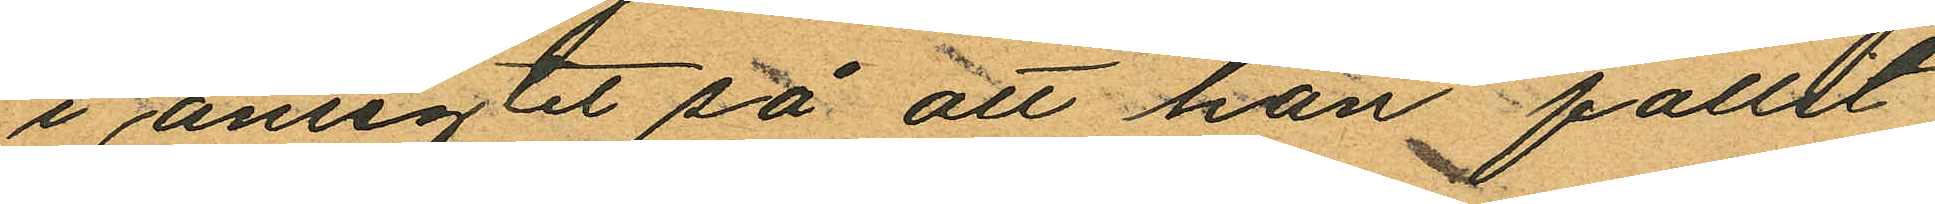i ansigtet så att han fallit
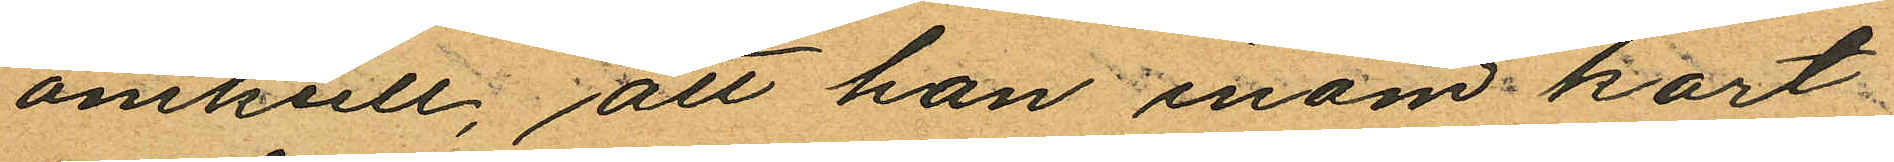omkull; att han inom kort
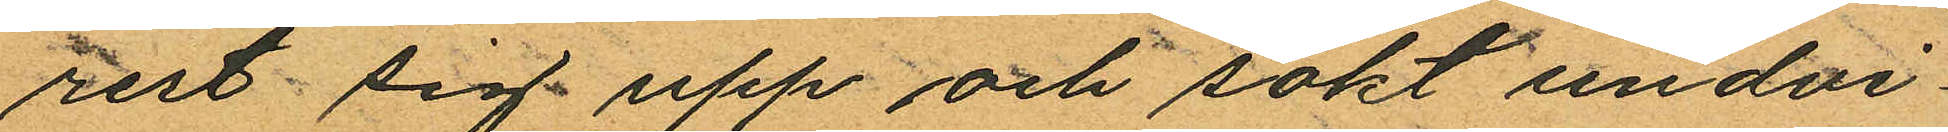rest sig upp och sökt undvi¬
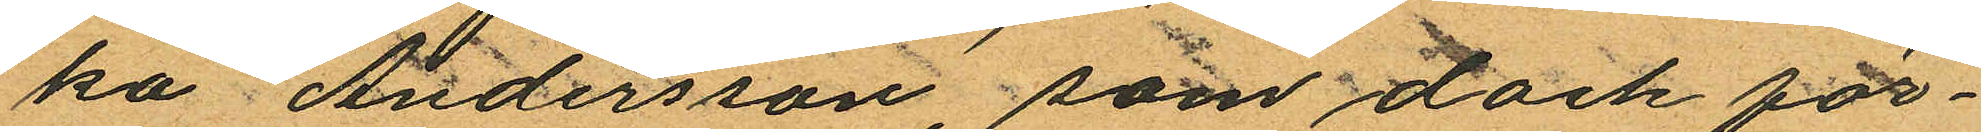ka Andersson, som dock för¬
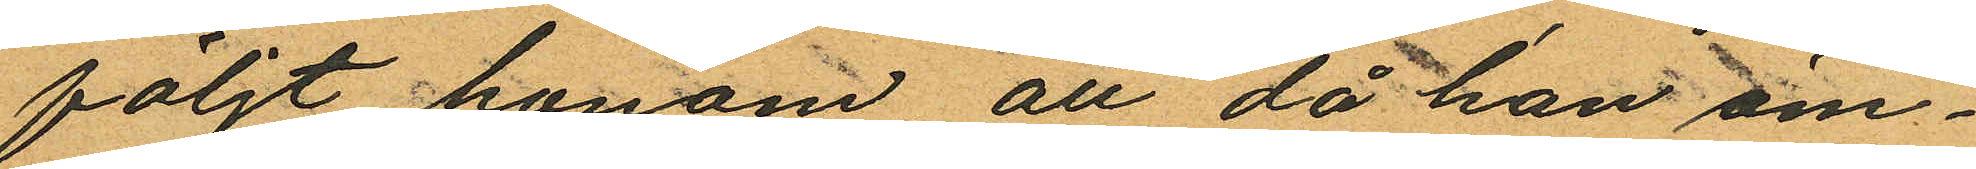följt honom att då han äm¬
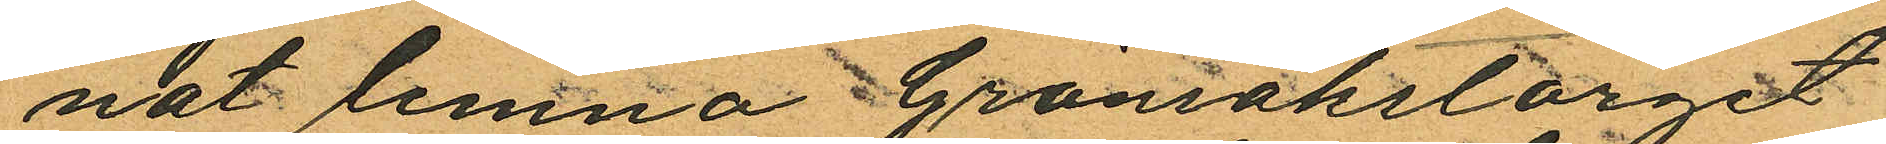nat lemna Grönsaktorget
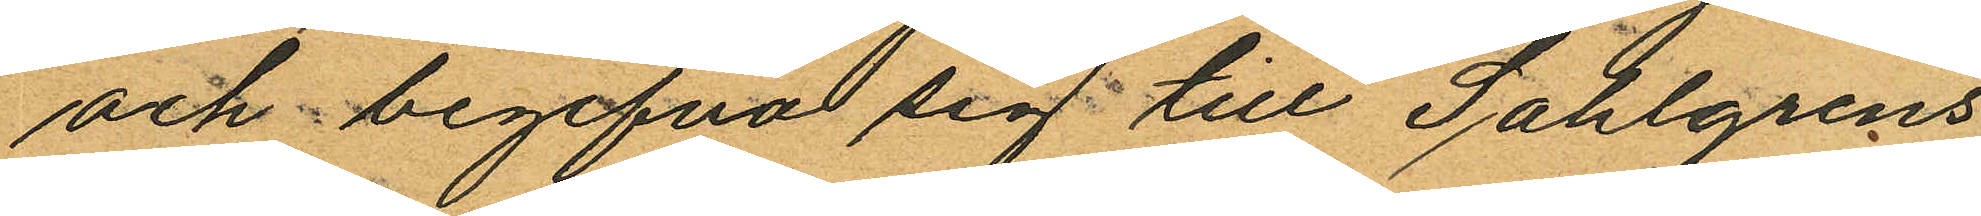och begifva sig till Sahlgrens
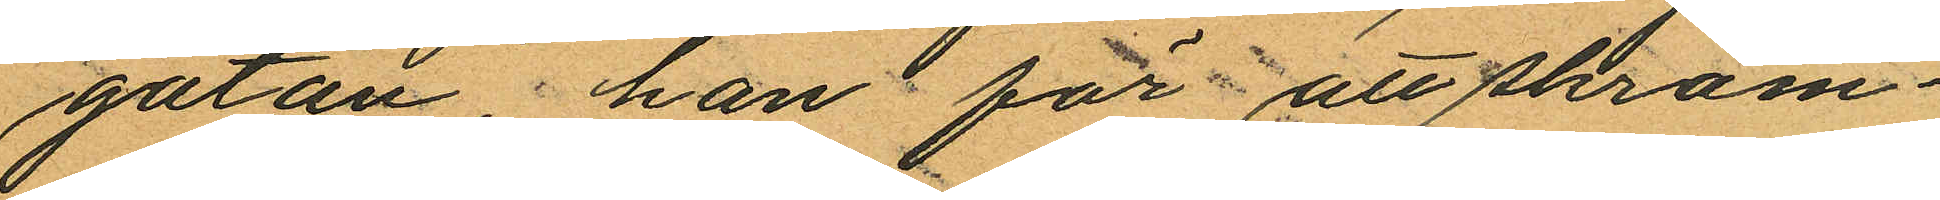gatan han för att skräm¬
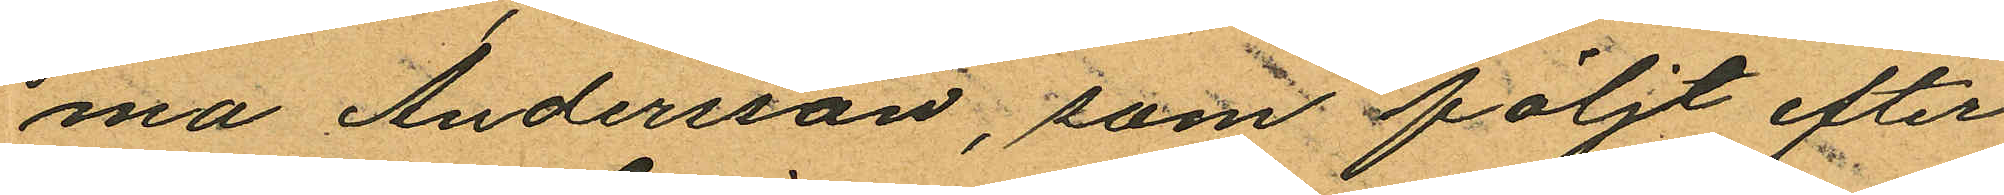ma Andersson, som följt efter
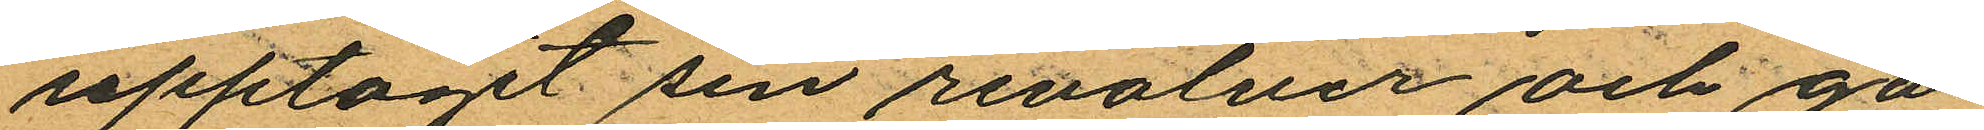upptagit sin revolver och gå
